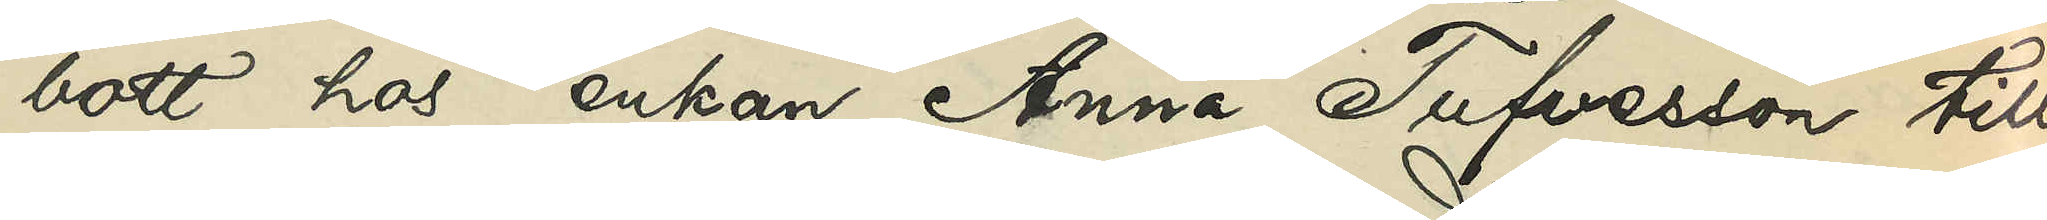bott hos enkan Anna Tufvesson till
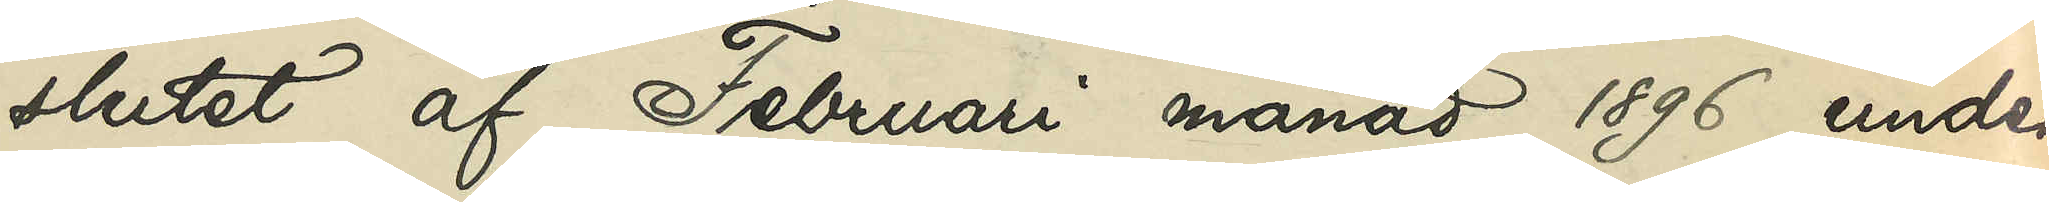slutet af Februari månad 1896, under
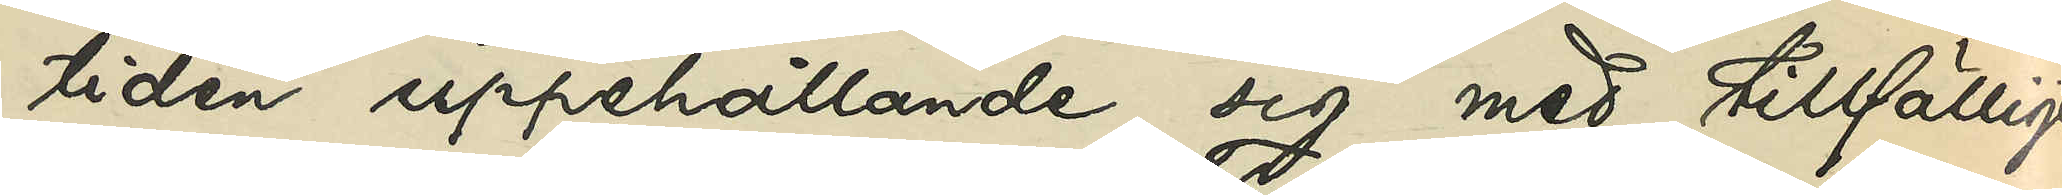tiden uppehållande sig med tillfälligt
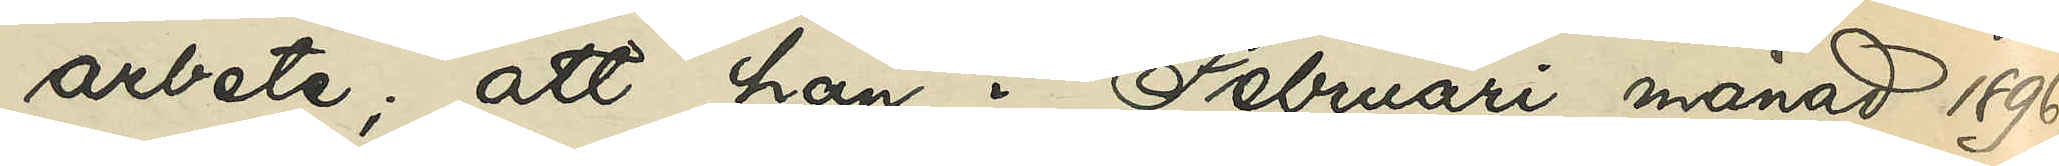arbete; att han i Februari månad 1896
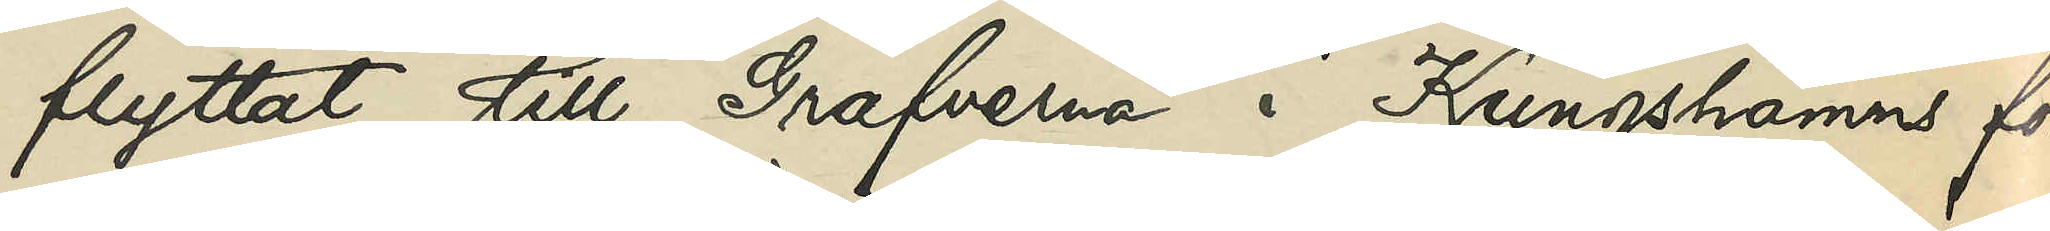flyttat till Grafverna i Kungshamns för¬
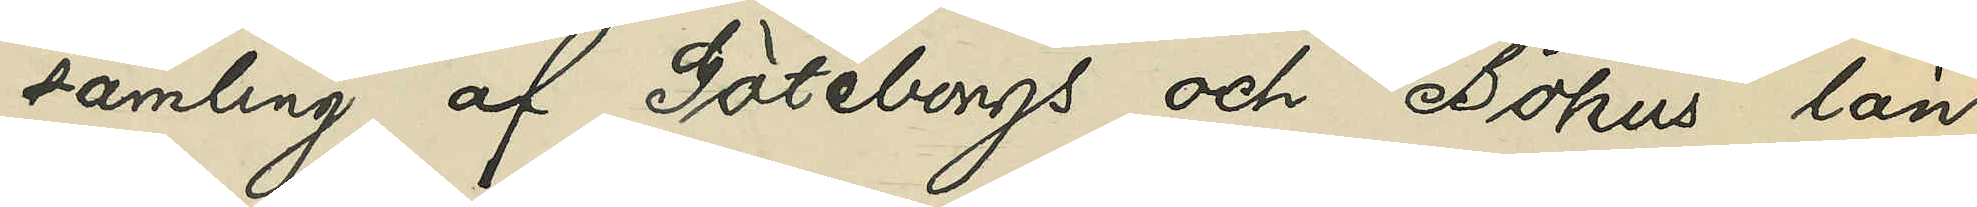samling af Göteborgs och Bohus län,
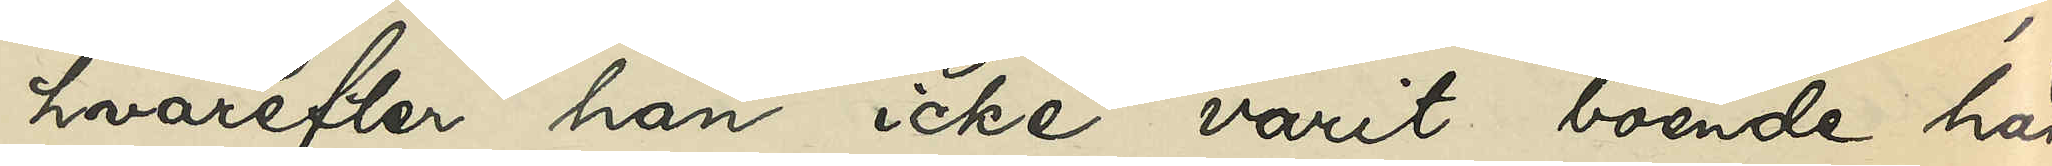hvarefter han icke varit boende här
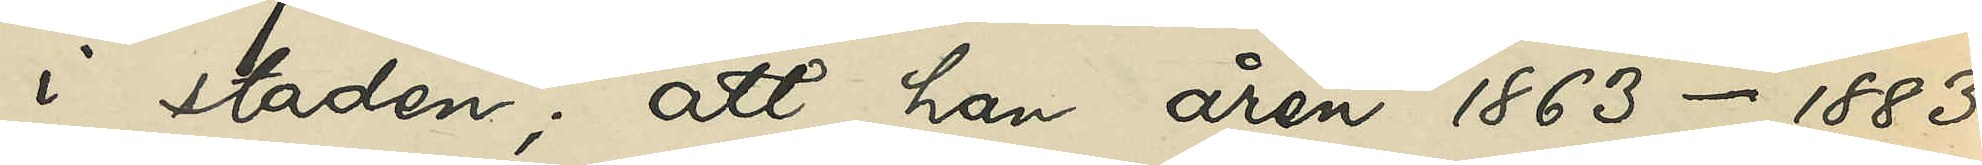i staden; att han åren 1863-1883
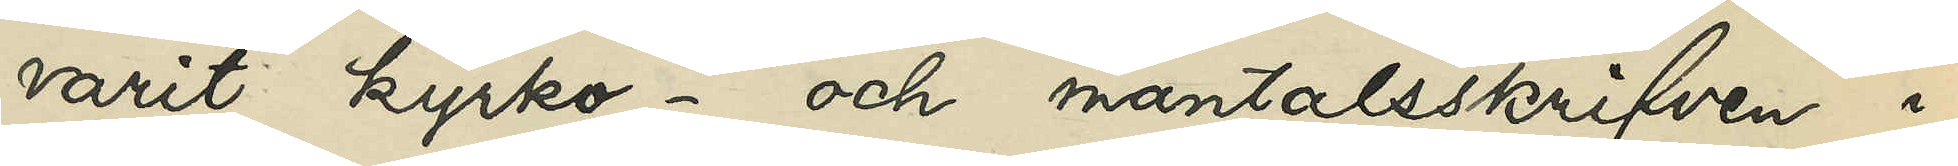varit kyrko- och mantalsskrifven i
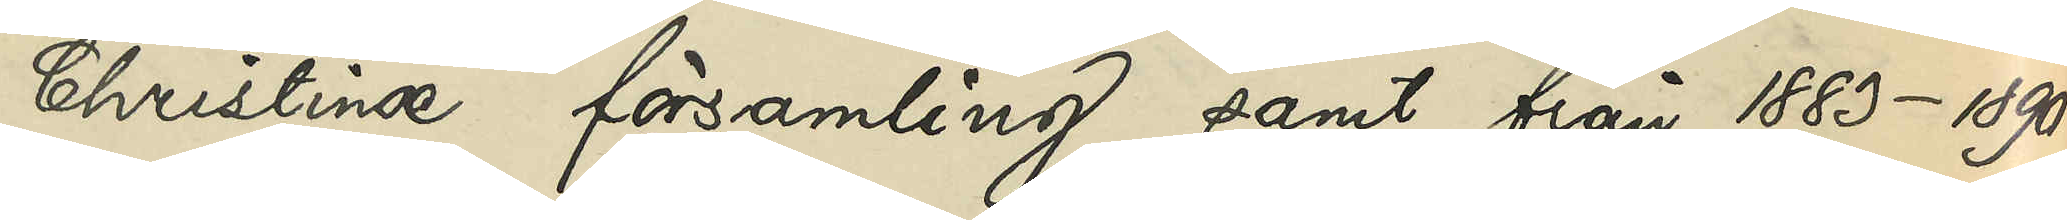Christinæ församling samt från 1883-1890
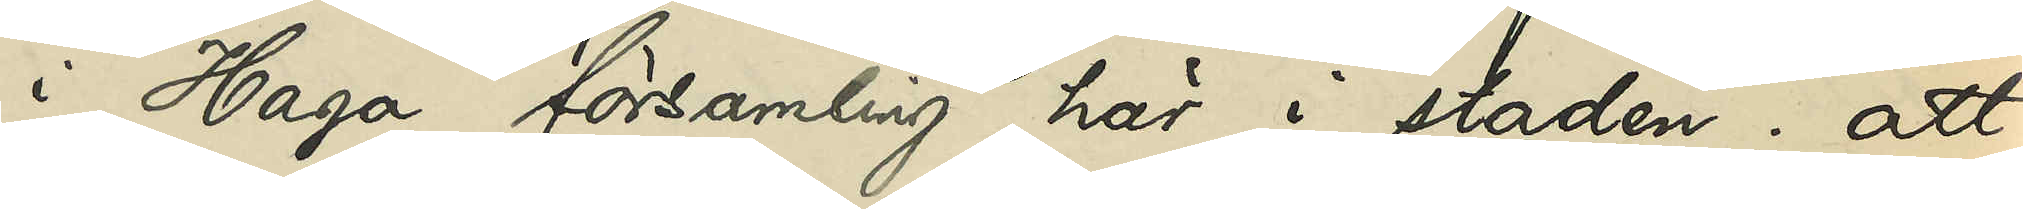i Haga församling här i staden; att
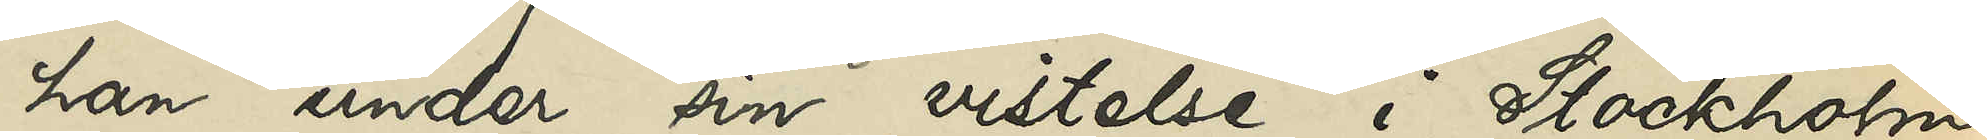han under sin vistelse i Stockholm
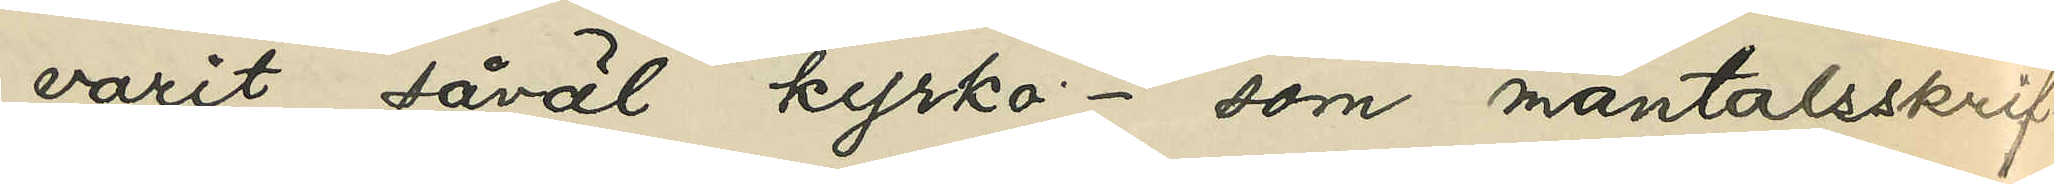varit såväl kyrko- som mantalsskrif¬
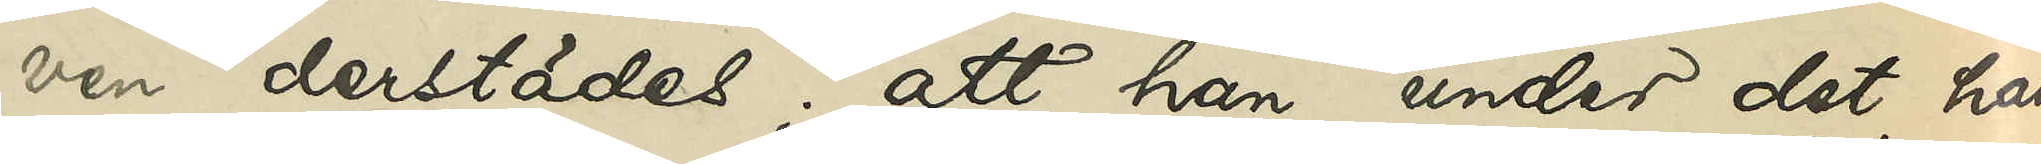ven derstädes; att han, under det han
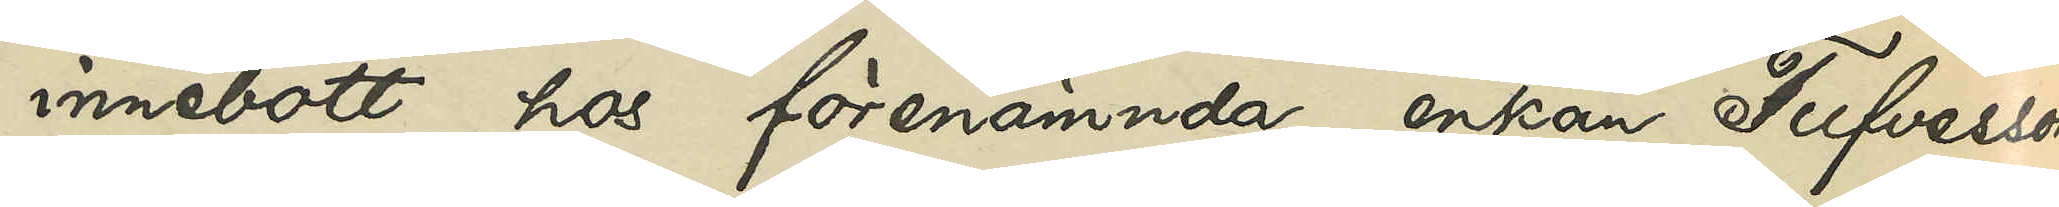innebott hos förenämnda enkan Tufvesson
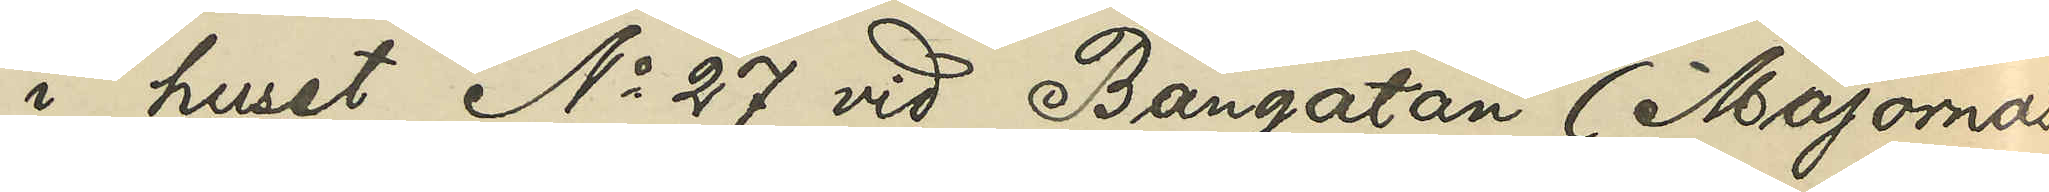i huset No 27 vid Bangatan (Majornas
